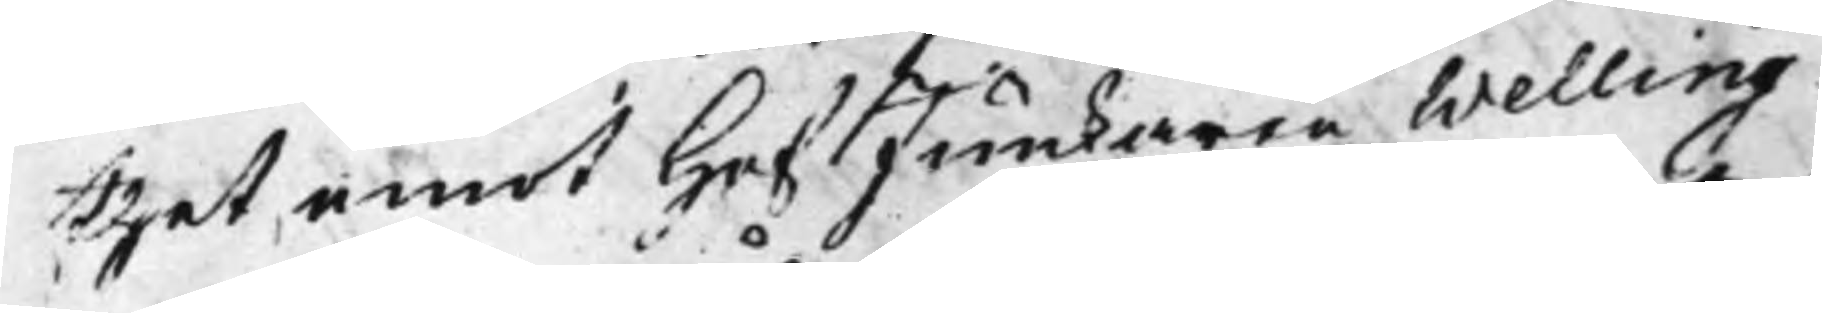thet emot HofJunkaren Welling
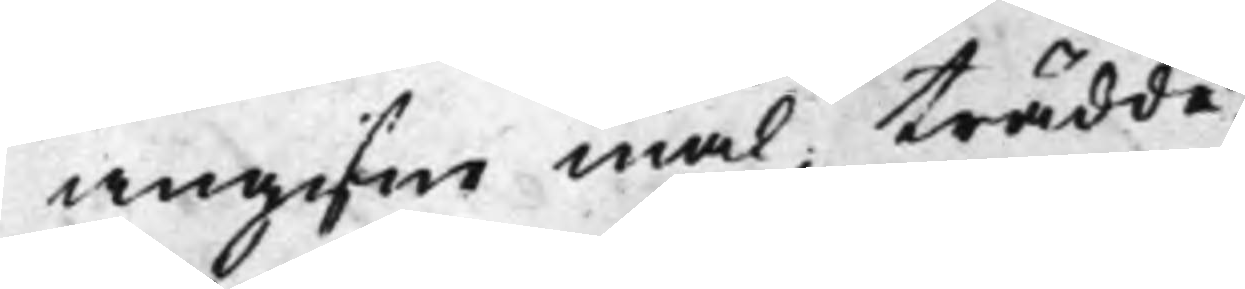angifne mål, trädde
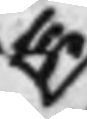the
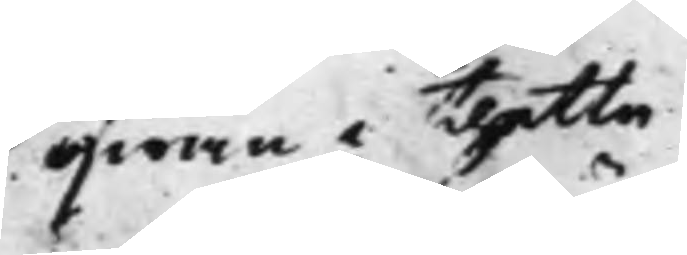åfwan i thette
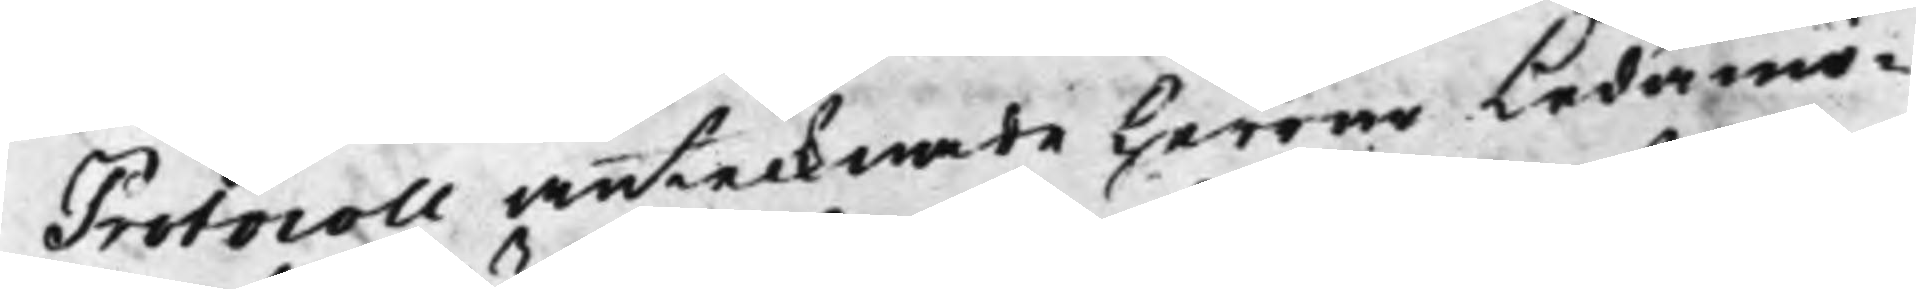Protocoll antecknade Herrar Ledamö¬
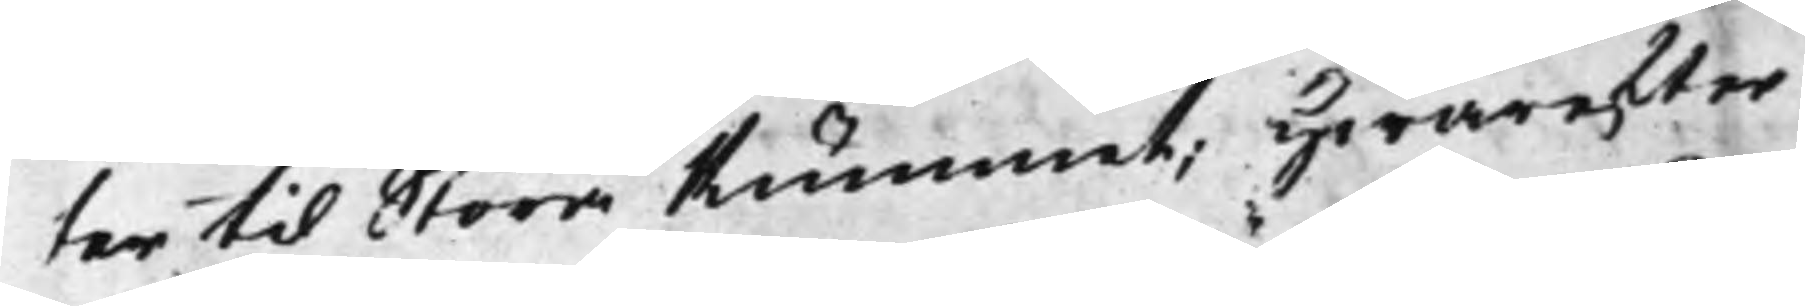ter til Större Rummet; Hwarefter
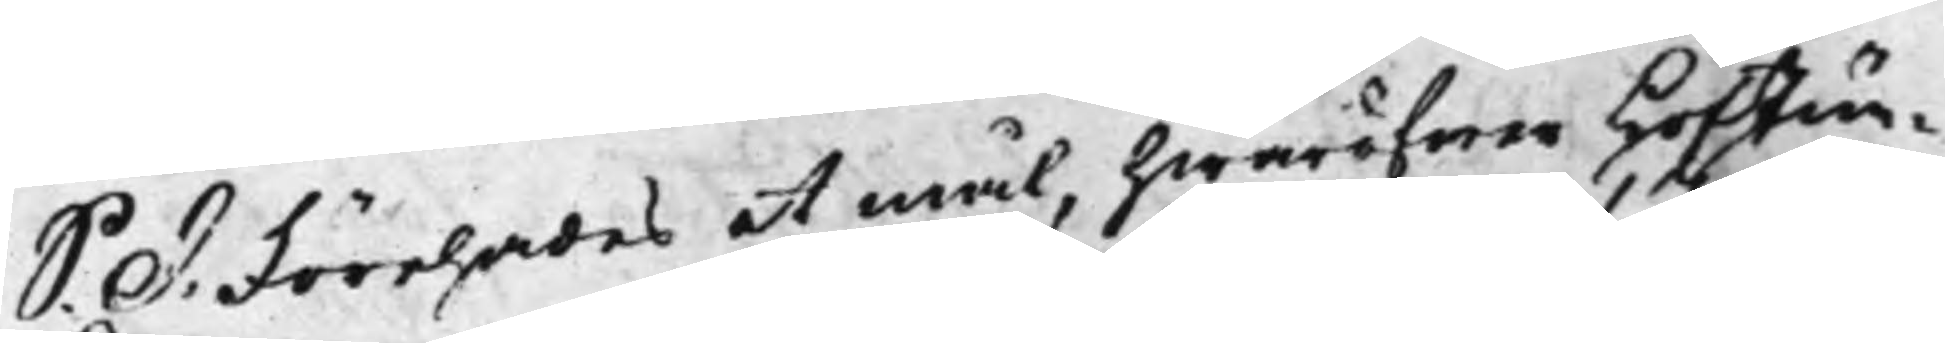S: d: Förehades et mål, hwaröfwer HofJun¬ 
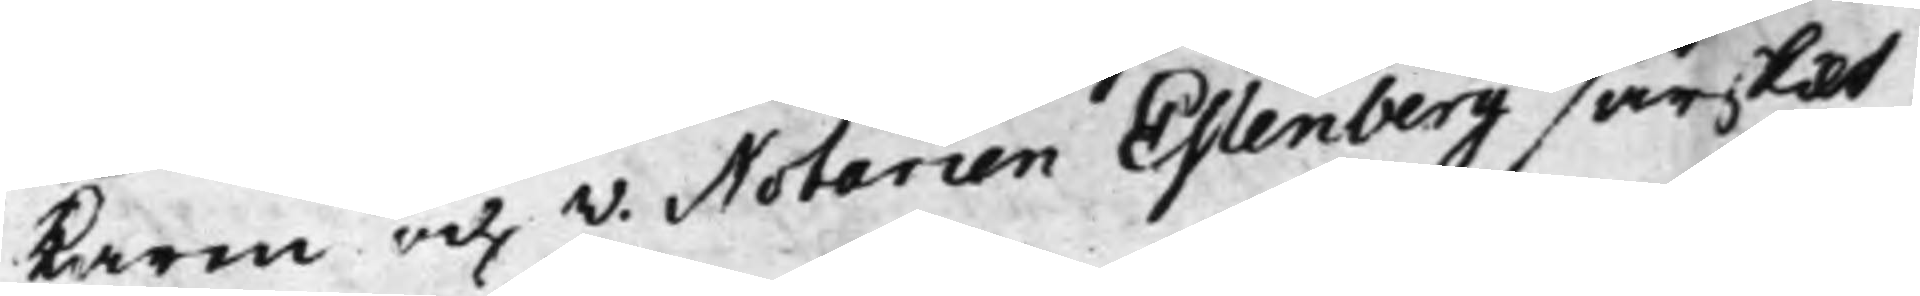karen och V. Notarien Estenberg särskilt 
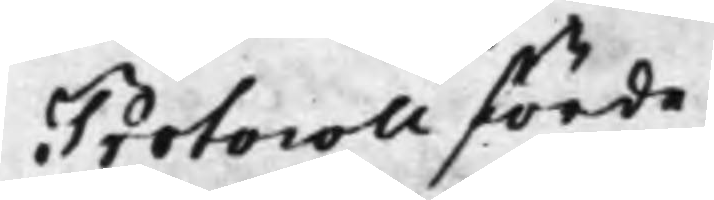Protocoll förde.
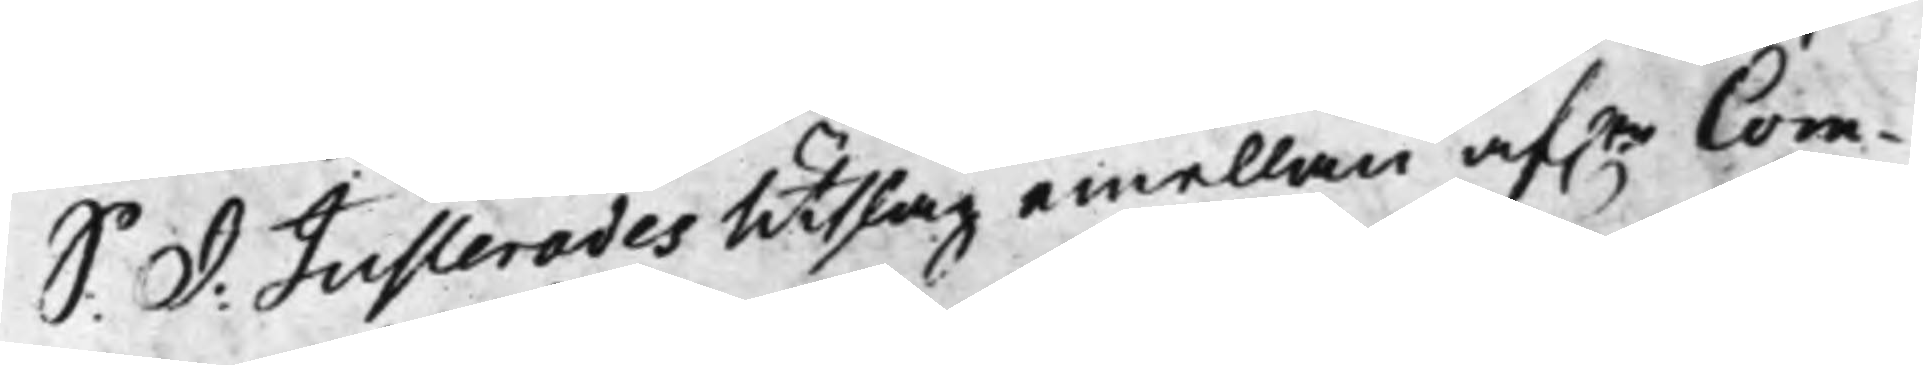S: d: Justerades Utslag emellan af.ne Com¬ 
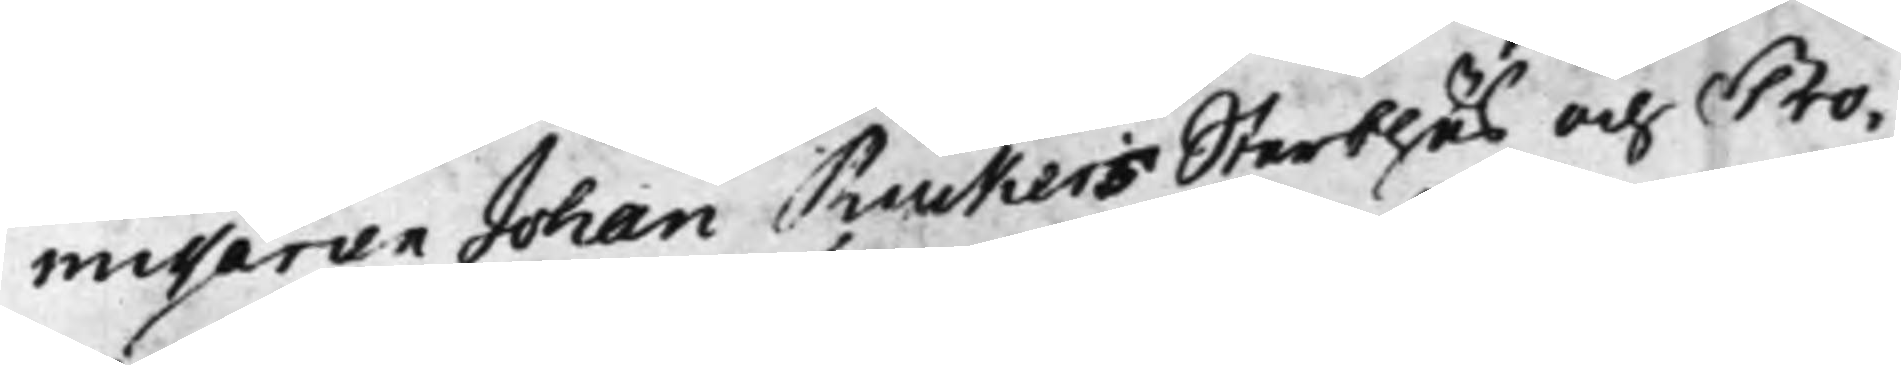missarien Johan Ruckers Sterbhus och Pro¬
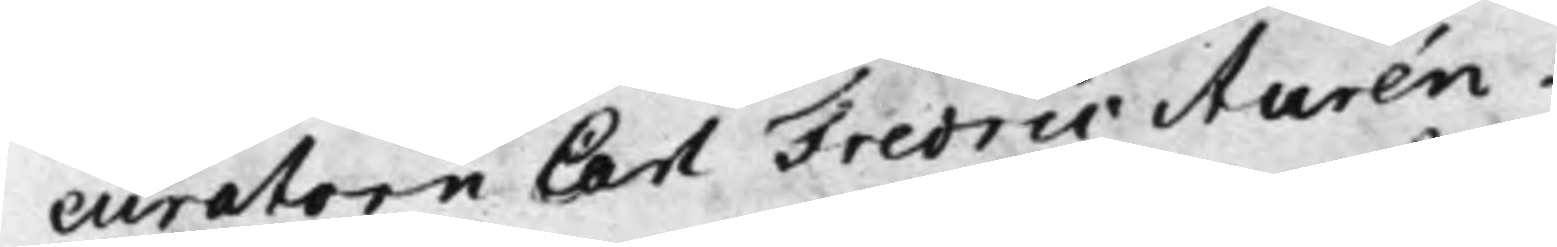curatorn Carl Fredric Aurén.
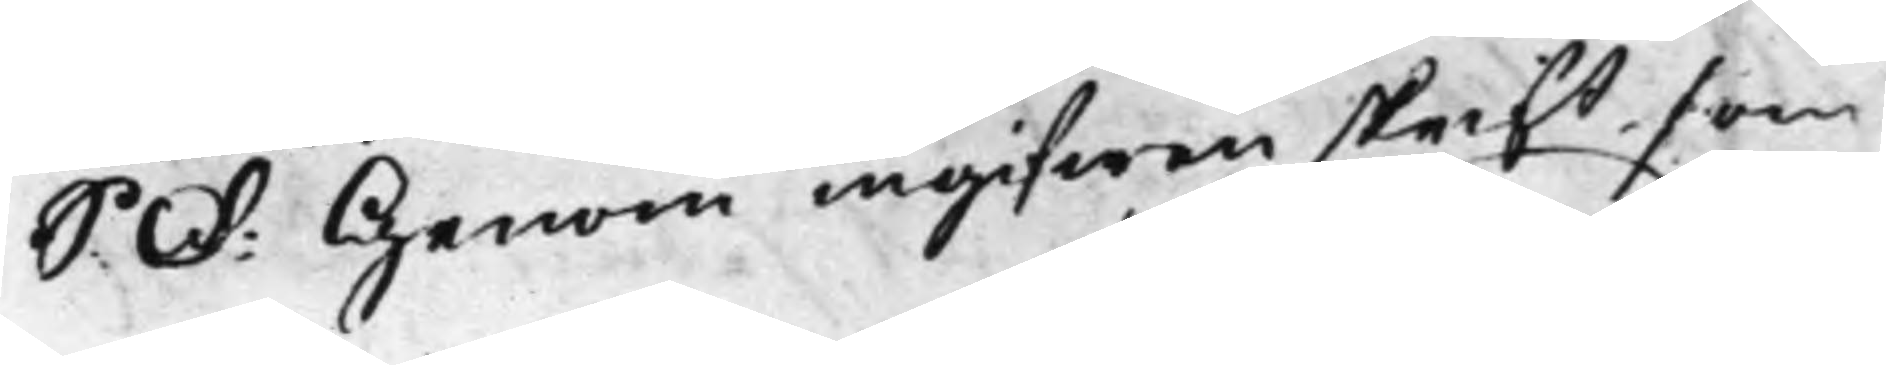S: d: Genom ingifwen skrift som 
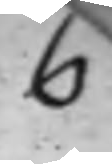6
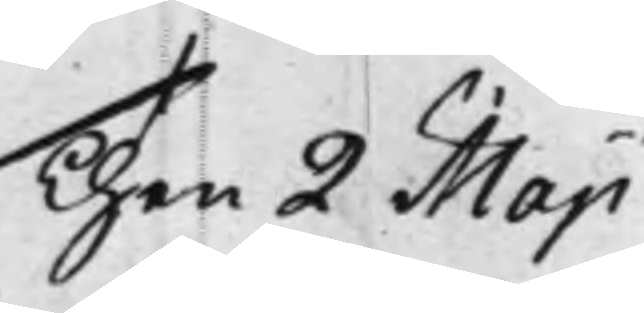Then 2 Maji
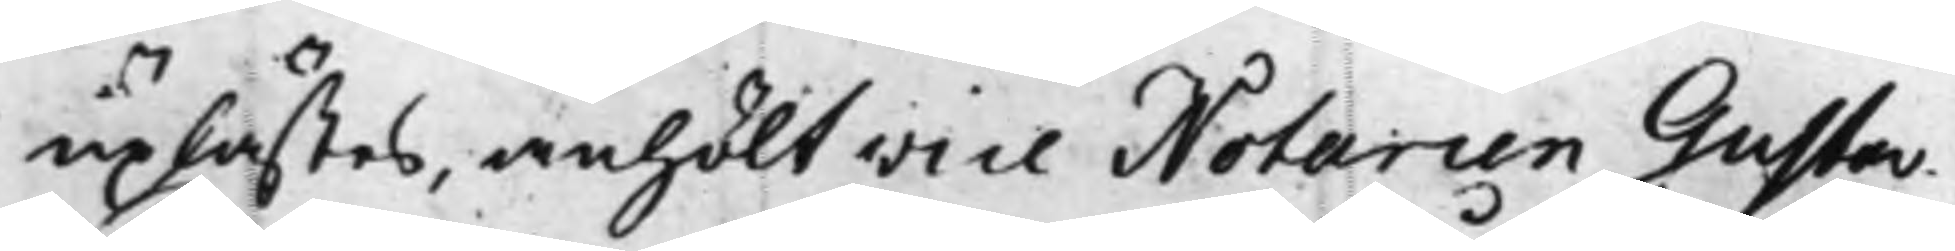uplästes, anhölt Vice Notarien Gustav
